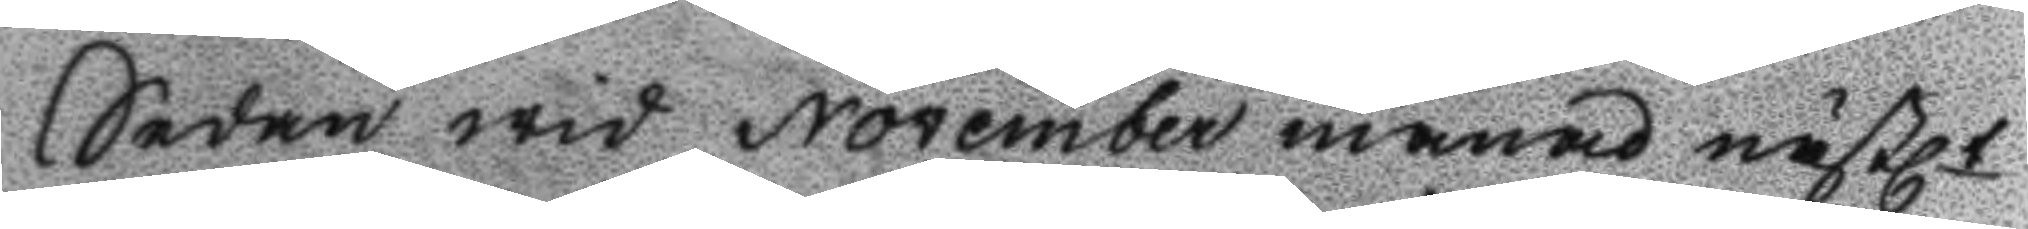Sedan wid November månad nästlt
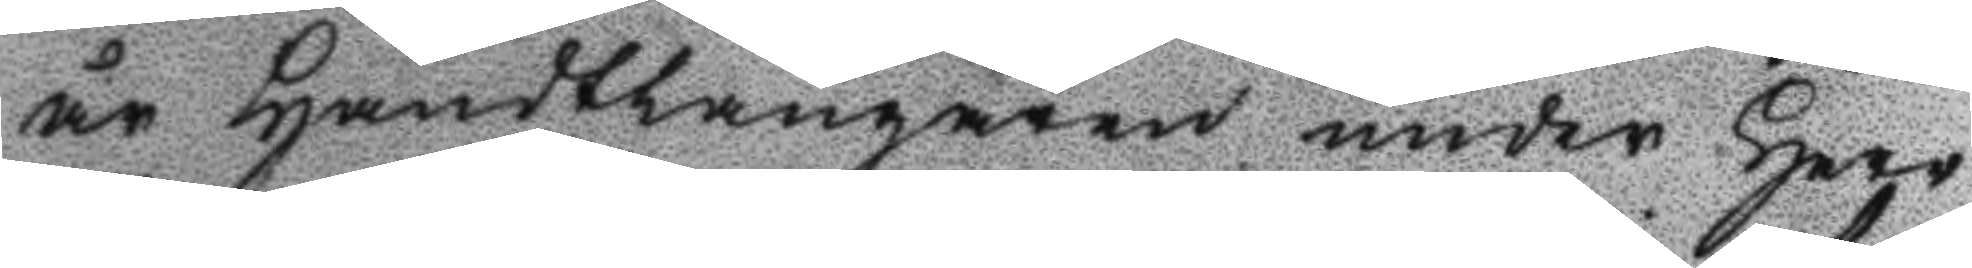år Handtlangaren under Herr
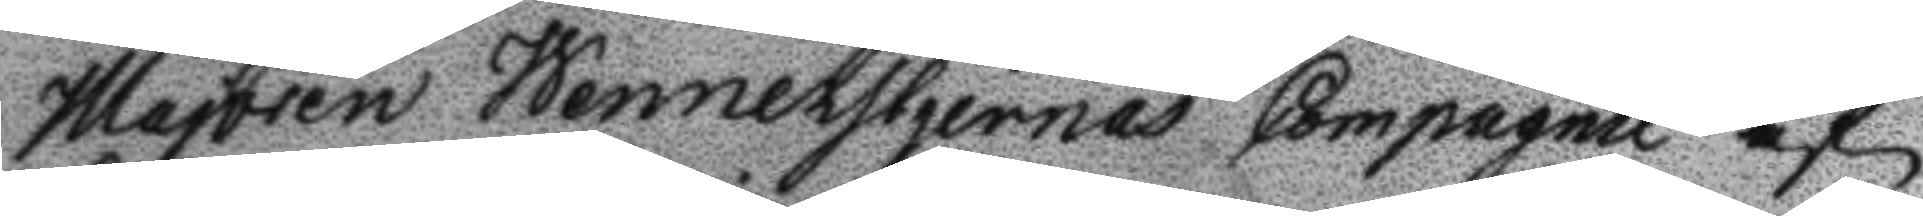Majoren Wennerstjernas Compagnie af
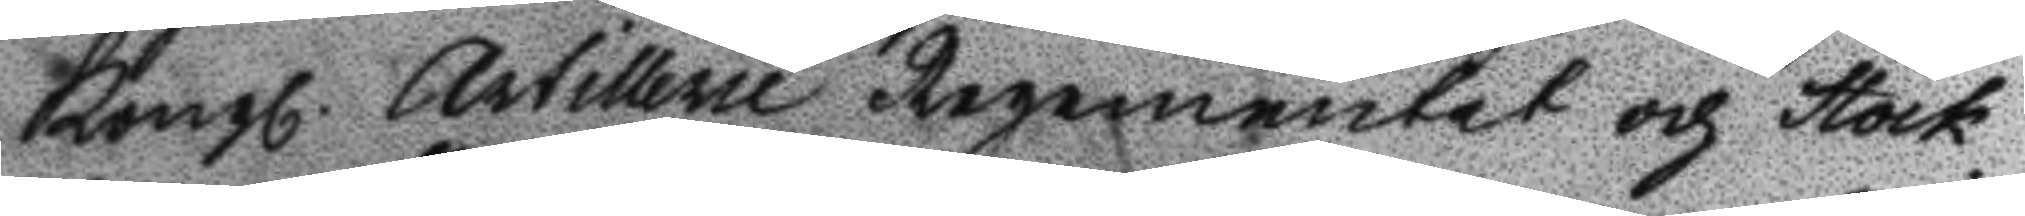Kongl. Artillerie Regementet och Stock¬
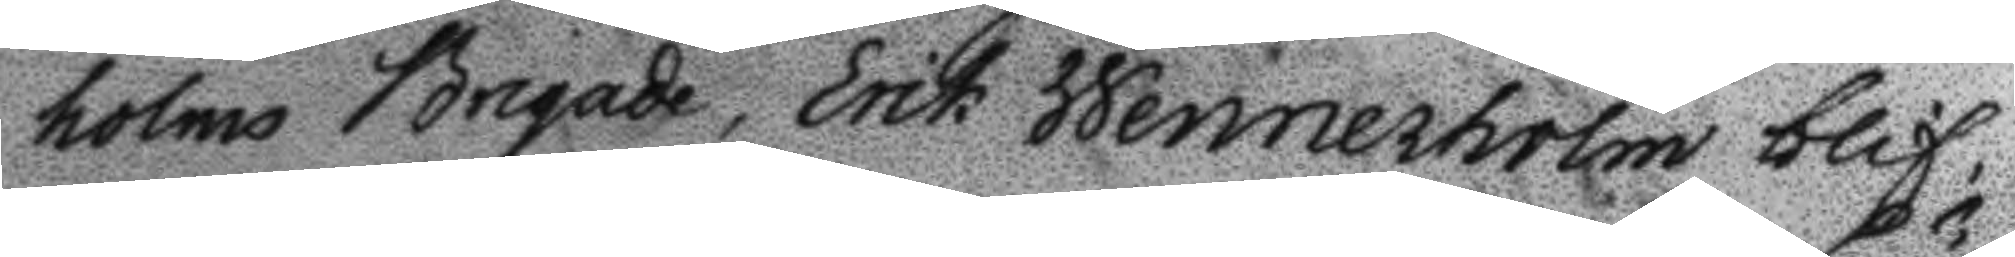holms Brigade, Erik Wennerholm blif¬
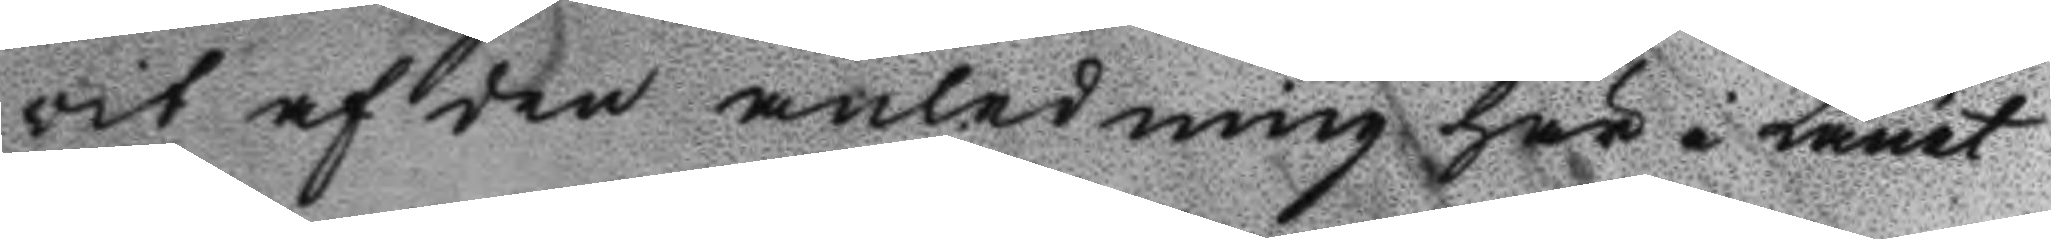vit af den anledning här i Länet
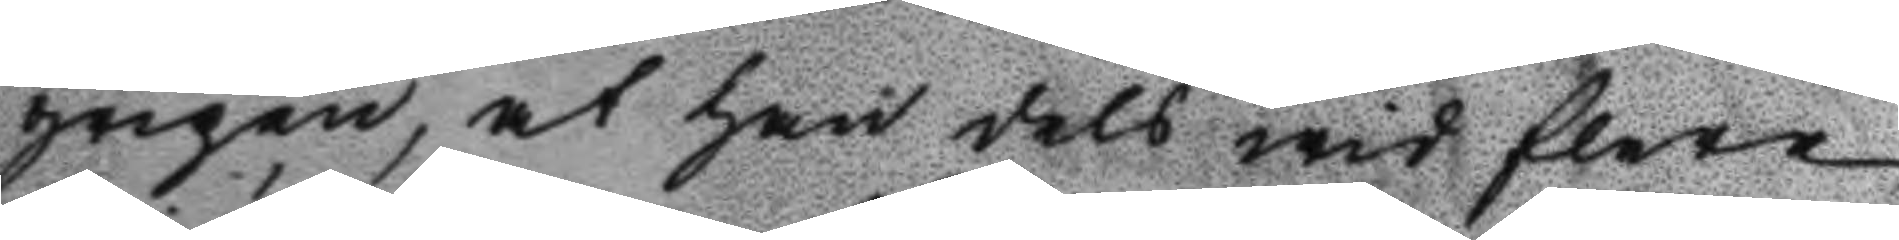gripen, at han dels wid flere
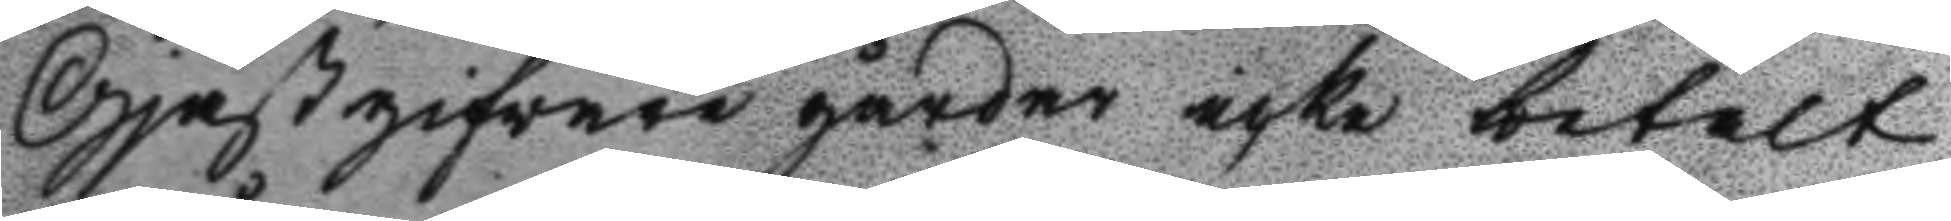Gjästgifvare gårdar icke betalt
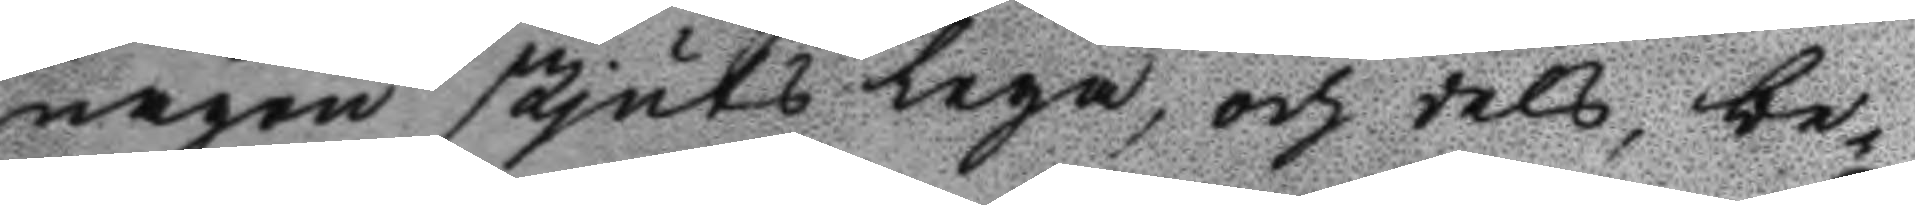någon skjuts lega, och dels, be¬
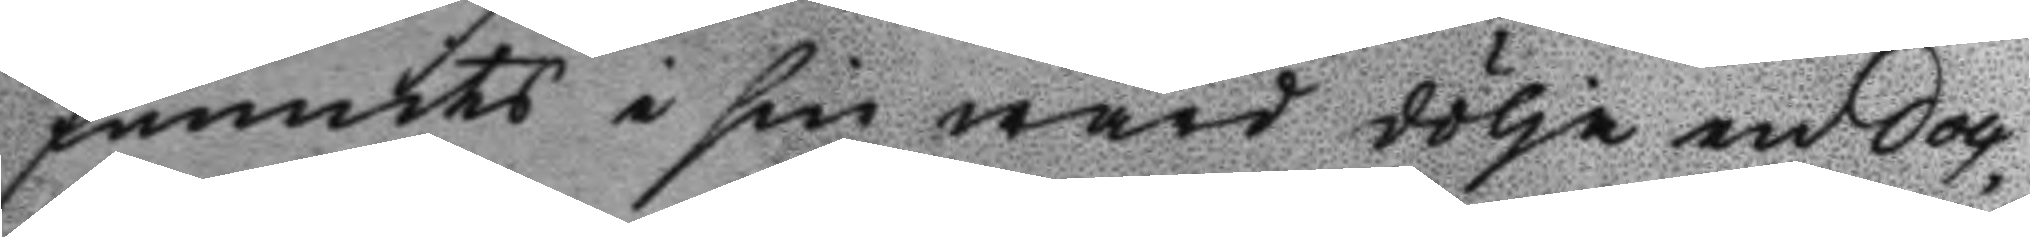funnits i sin wård dölja en Soc¬
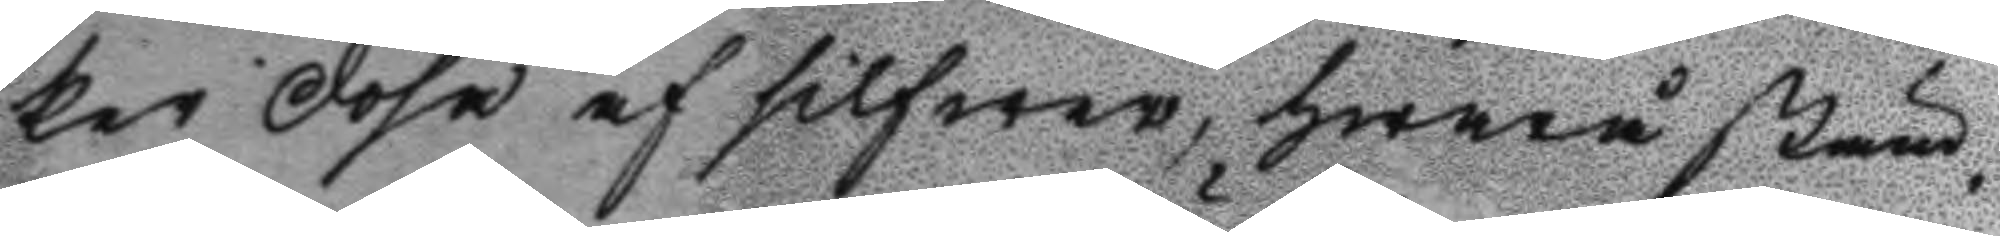ker dosa af silfwer, hwarå stäm¬
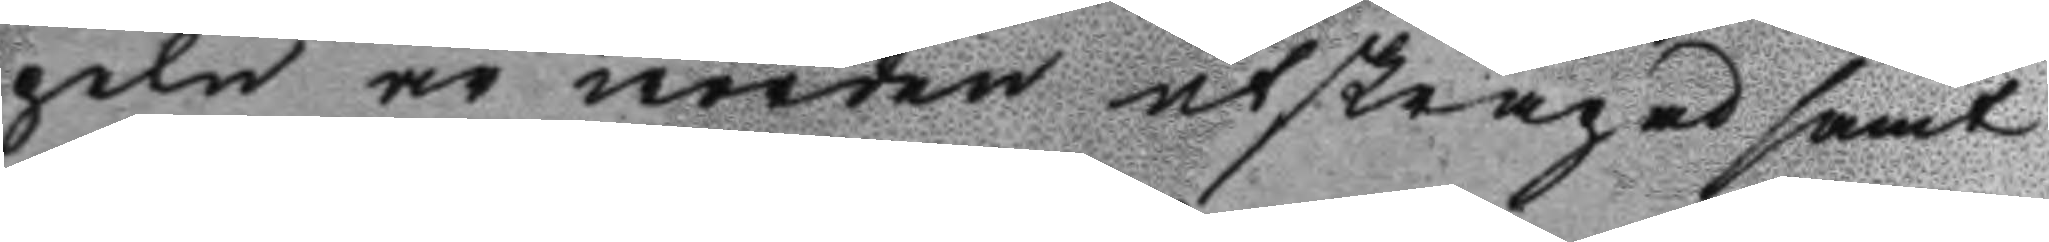peln är worden utskrapad samt
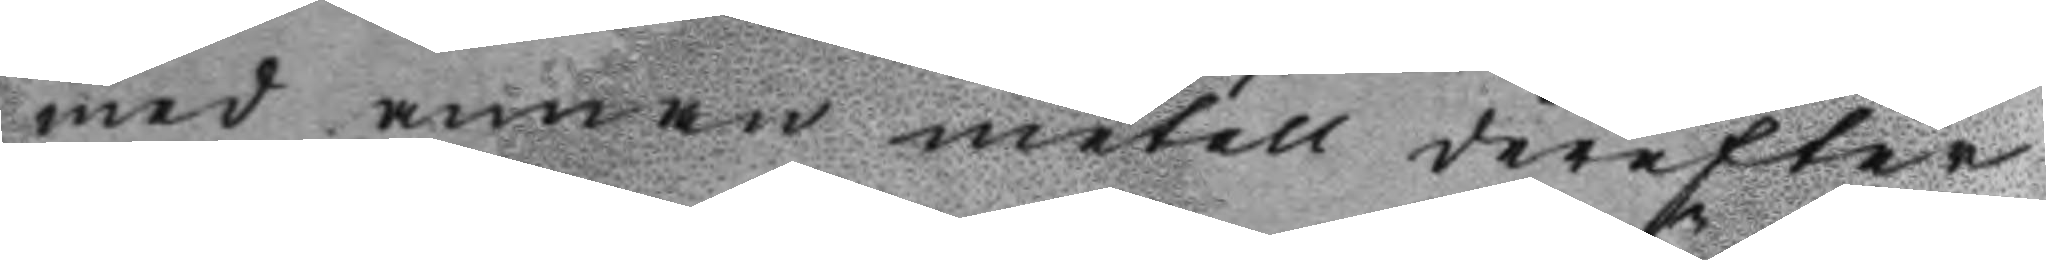wid annan metall derefter
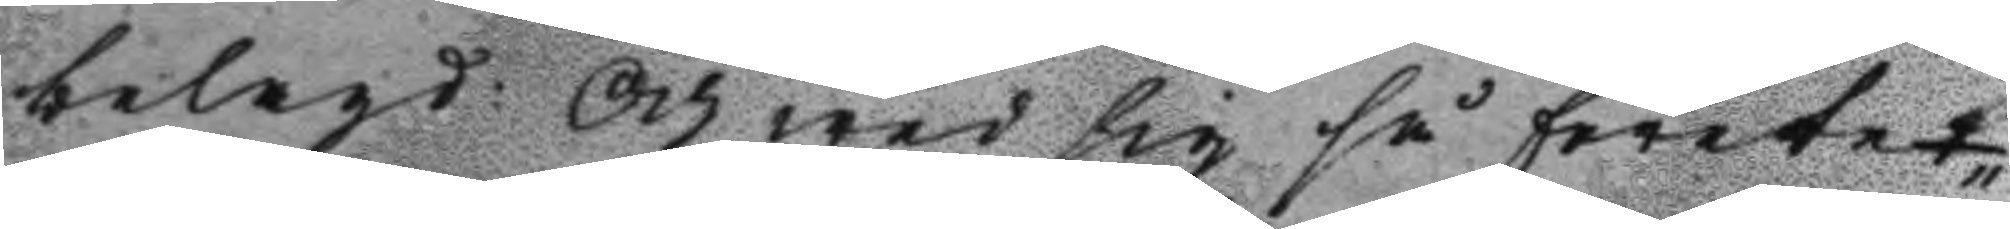belagd: och wad sig så företet¬
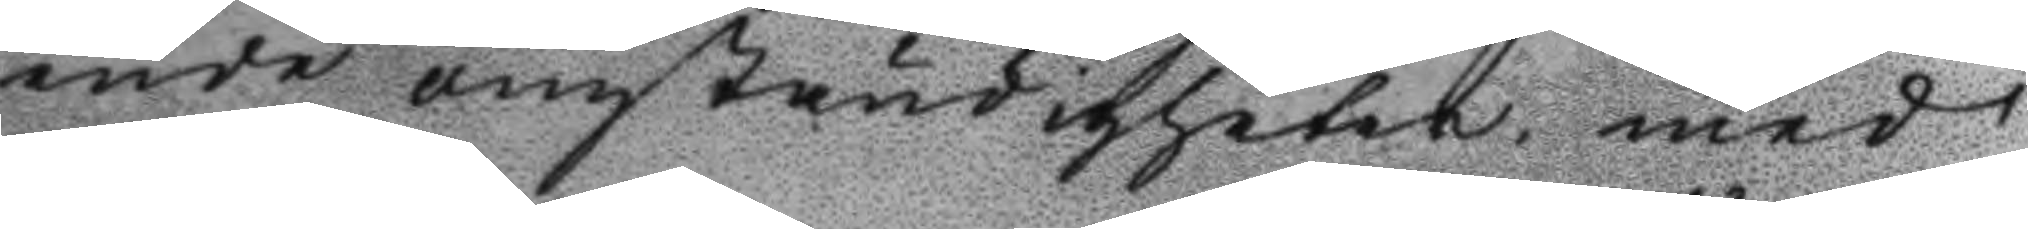ende omständigheter, med
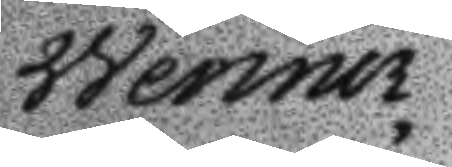Wenner¬
